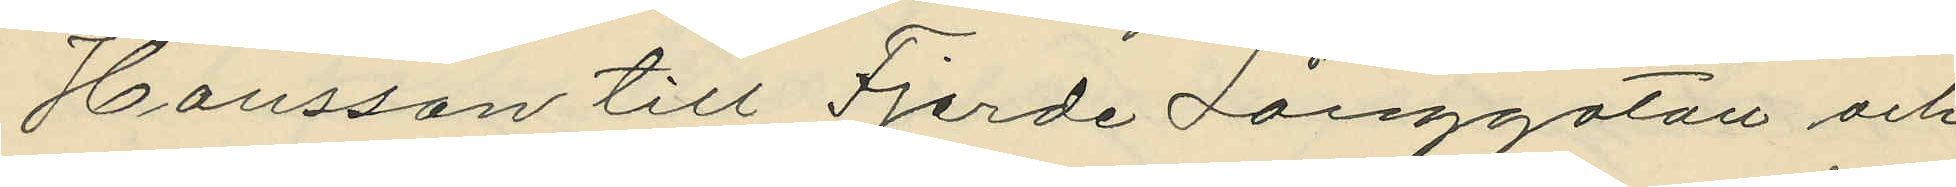Hansson till Fjerde Långgatan och
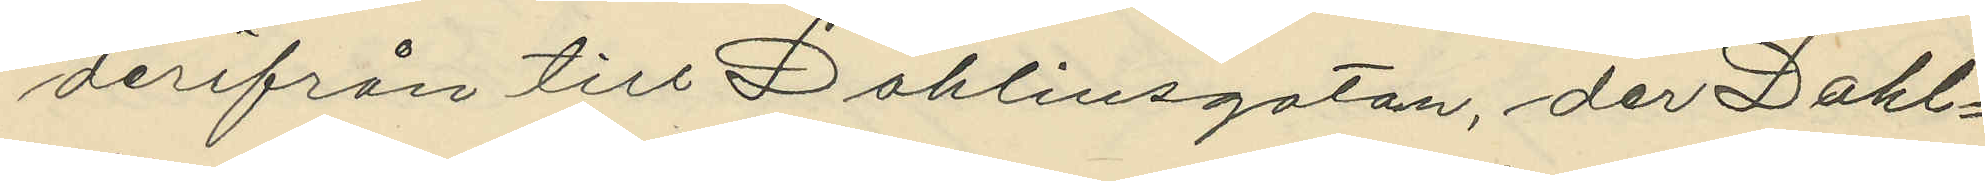derifrån till Dahlinsgatan, der Dahl¬
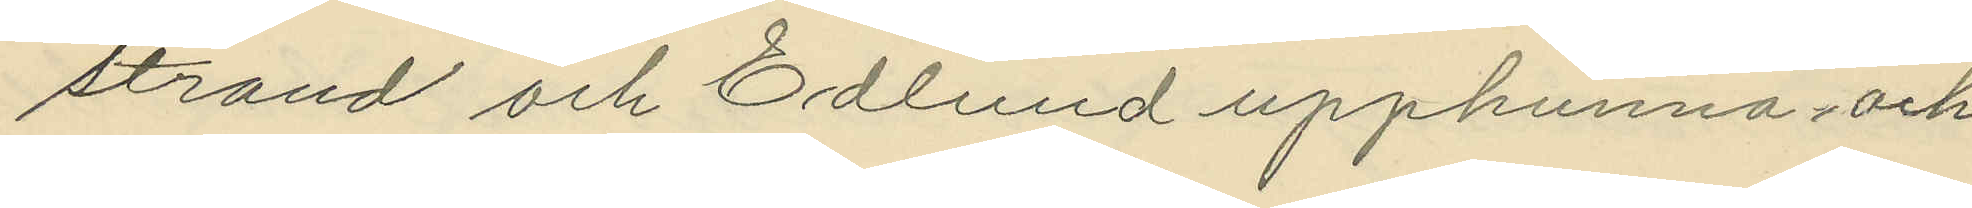strand och Edlund upphunna och
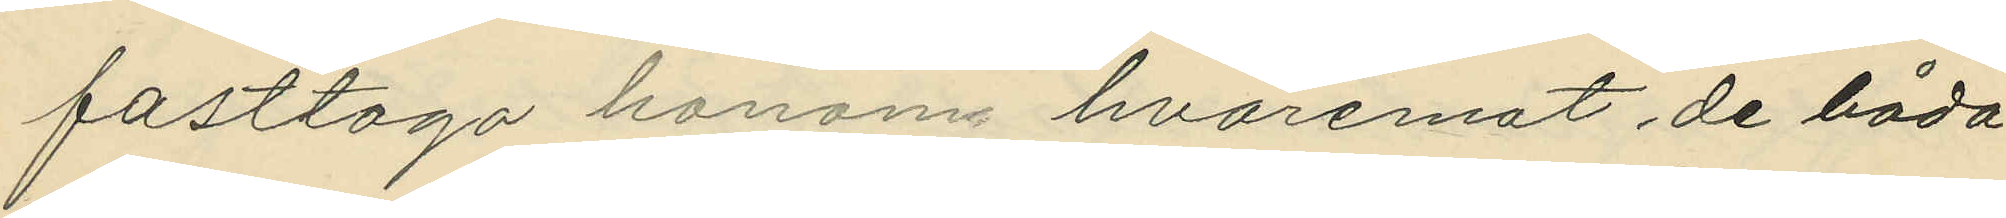fasttaga honom hvaremot de båda
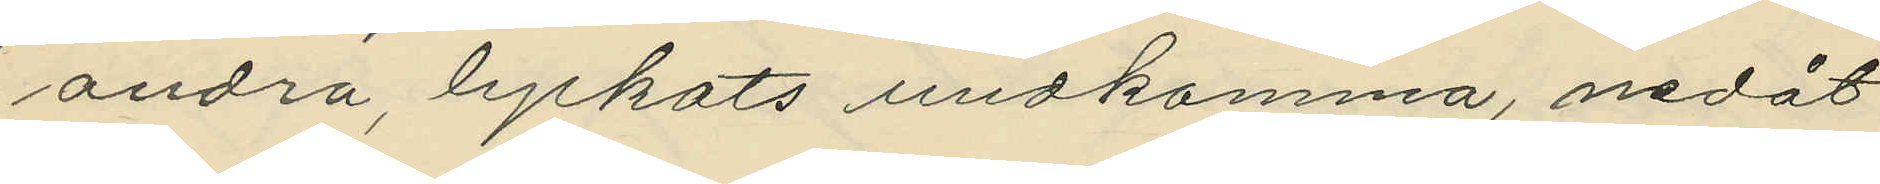andra, lyckats undkomma, nedåt
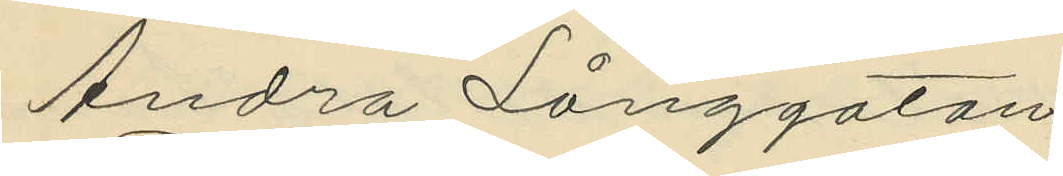Andra Långgatan.
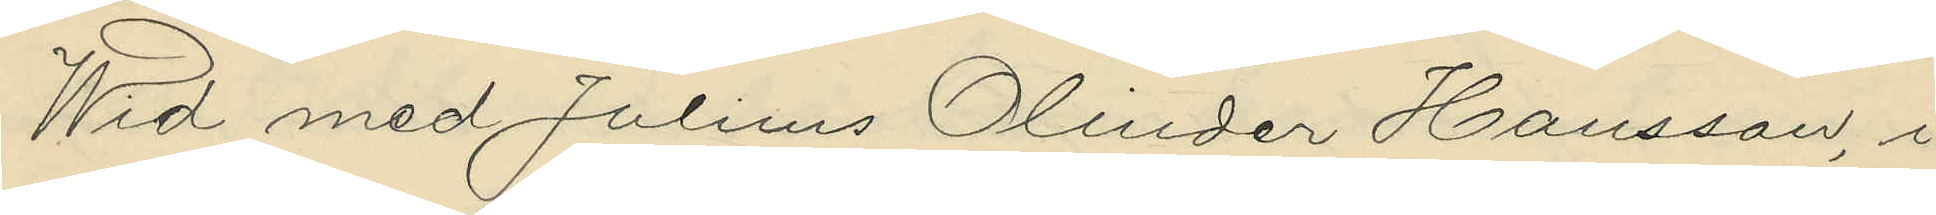Wid med Julius Olinder Hansson, i
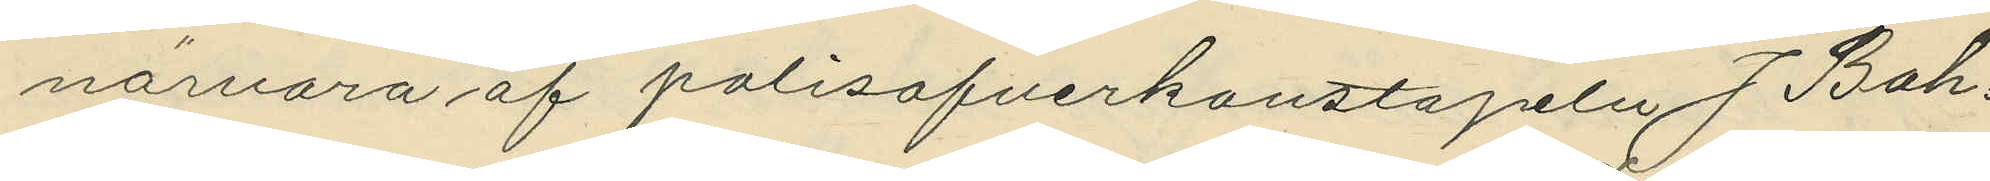närvaro af polisofverkonstapeln J. Boh¬
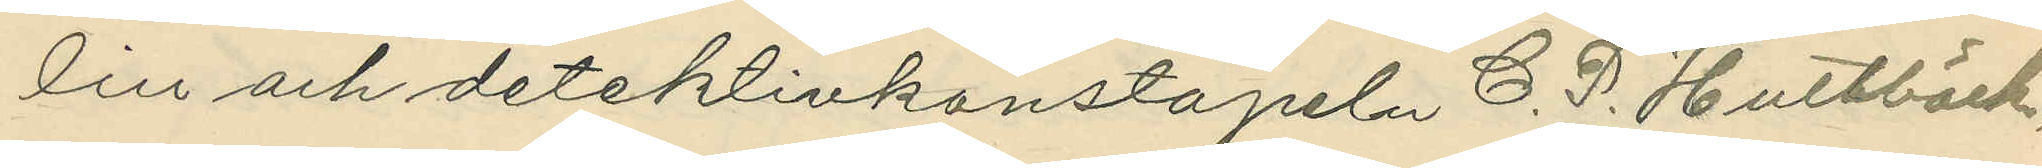lin och detektivkonstapeln C. P. Hultbäck,
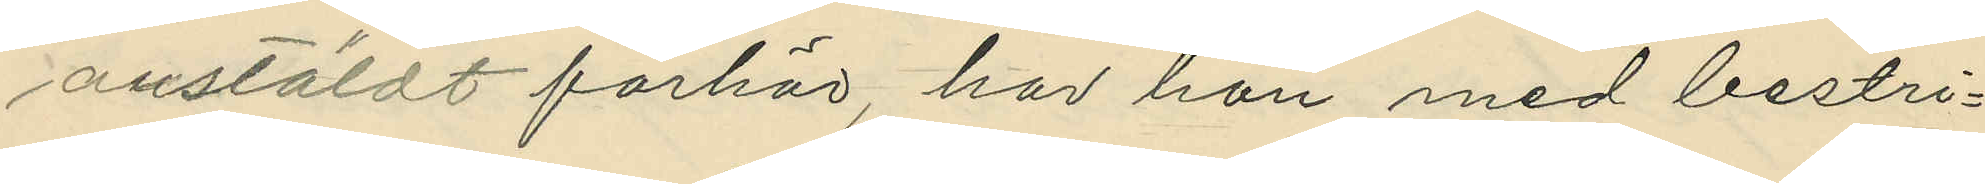anstäldt förhör, har han med bestri¬
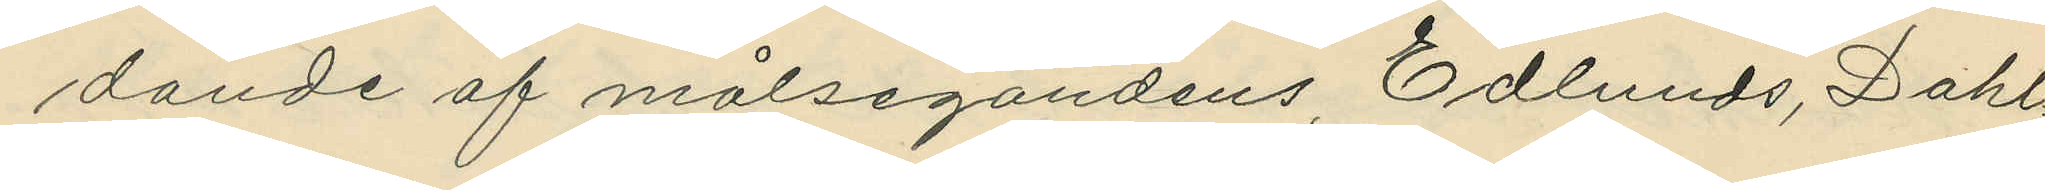dande af målsegandens, Edlunds, Dahl¬
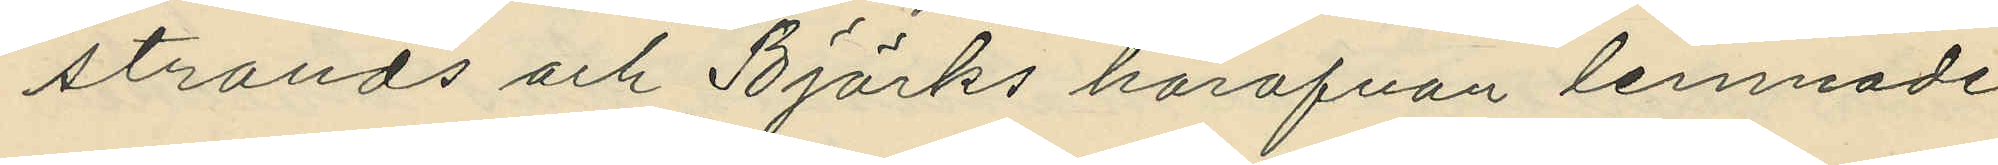strands och Björks härofvan lemnade
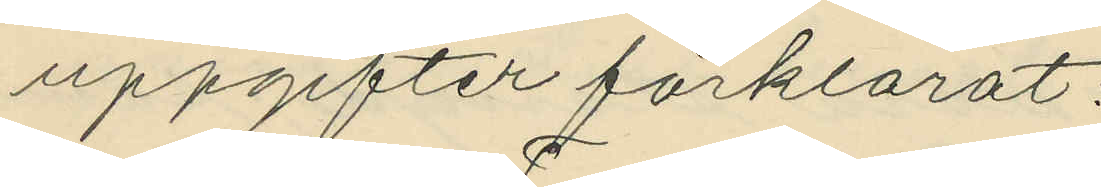uppgifter förklarat:
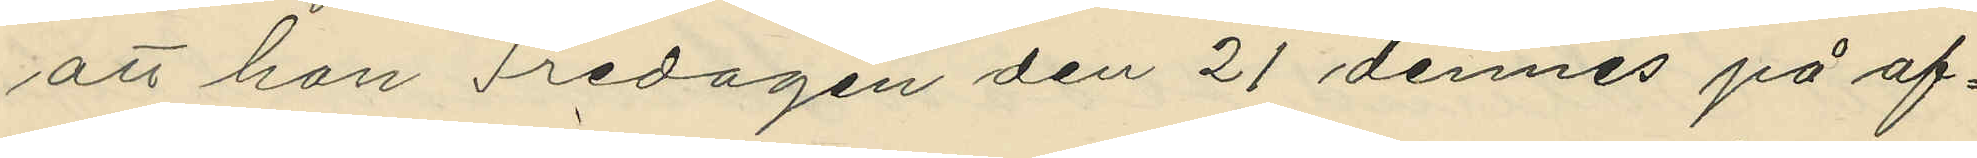att han Fredagen den 21 dennes på af¬
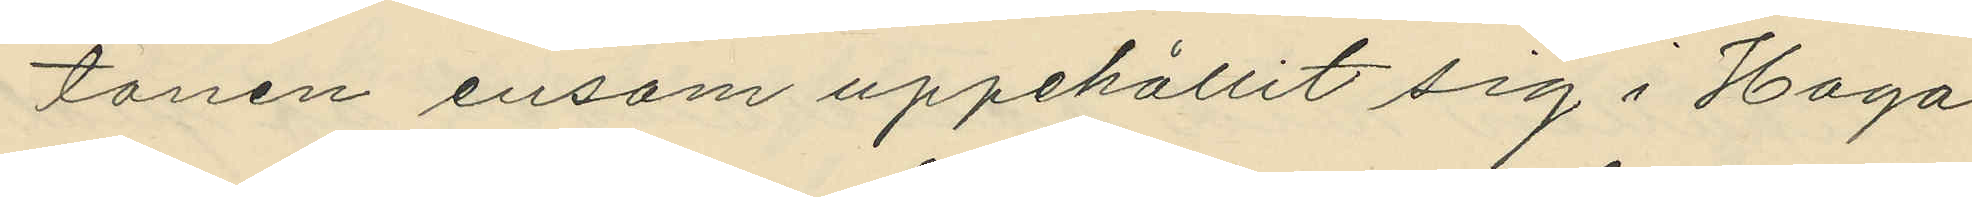tonen ensam uppehållit sig i Haga
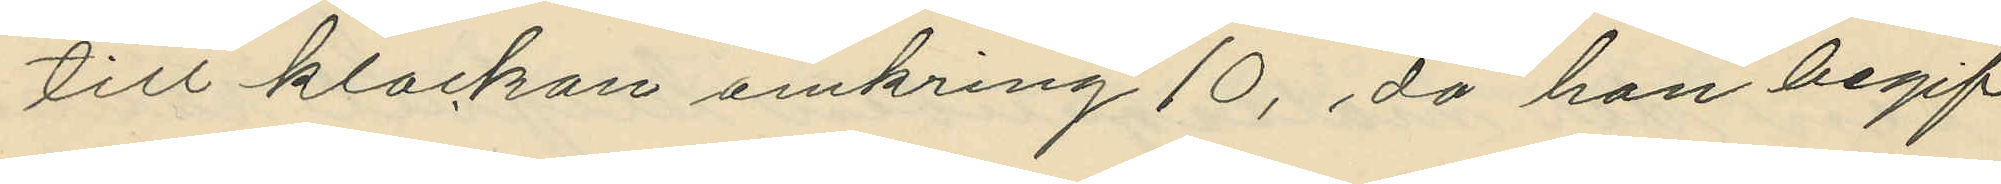till klockan omkring 10, då han begif¬
